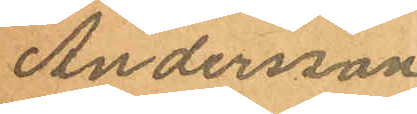Andersson.
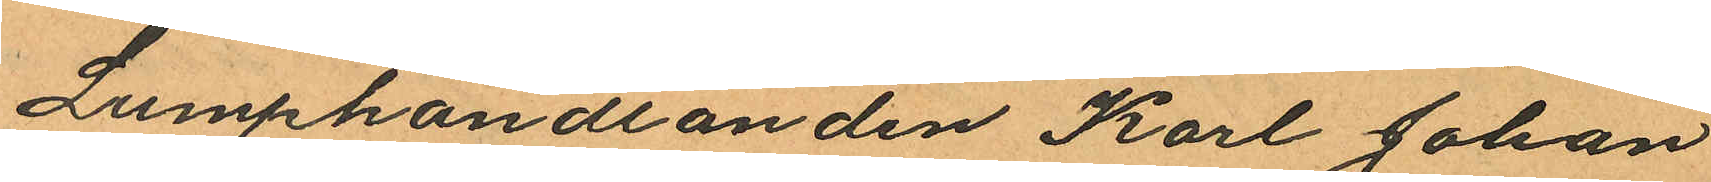Lumphandlanden Karl Johan
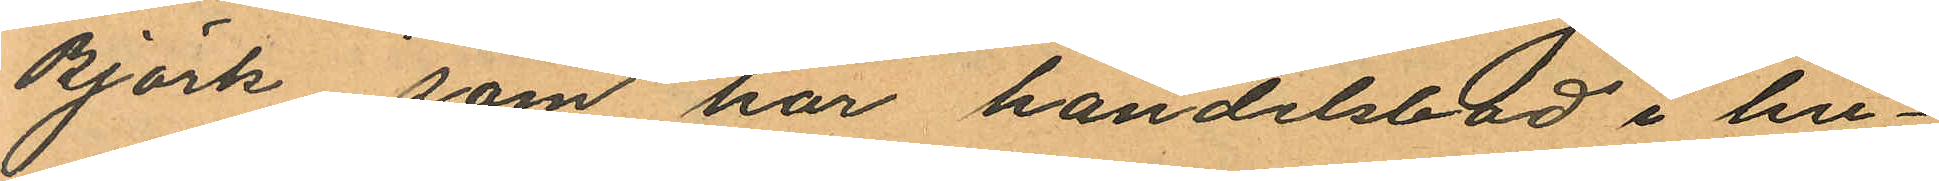Björk som har handelsbod i hu¬
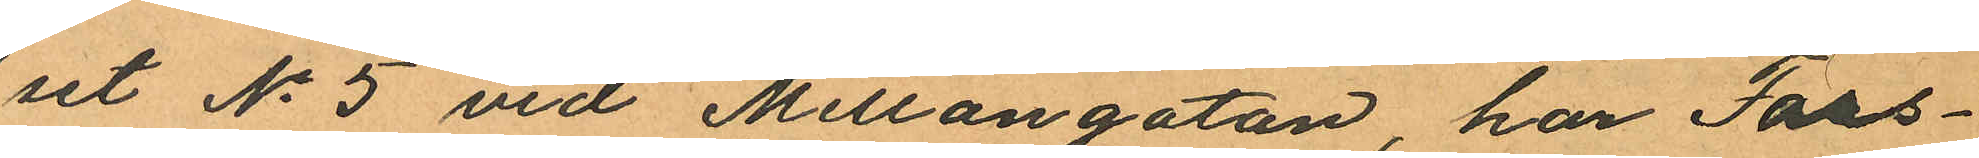set No 5 vid Mellangatan, har Tors¬
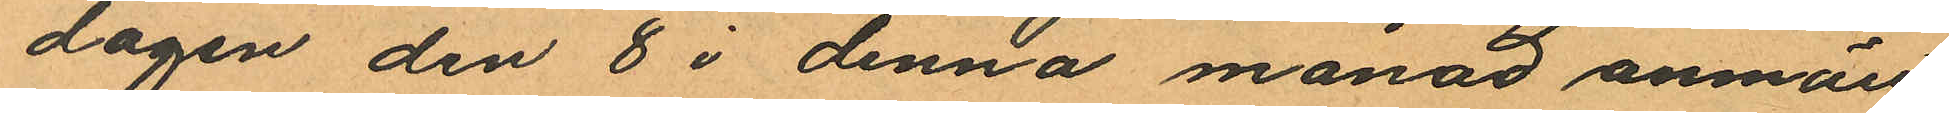dagen den 8 i denna månad anmält
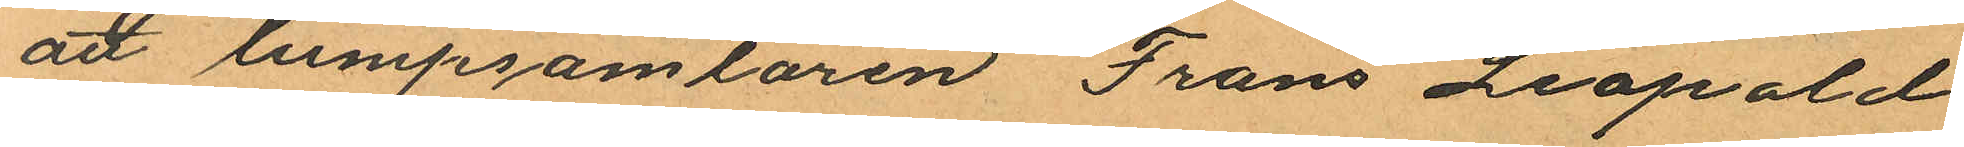att lumpsamlaren Frans Leopold
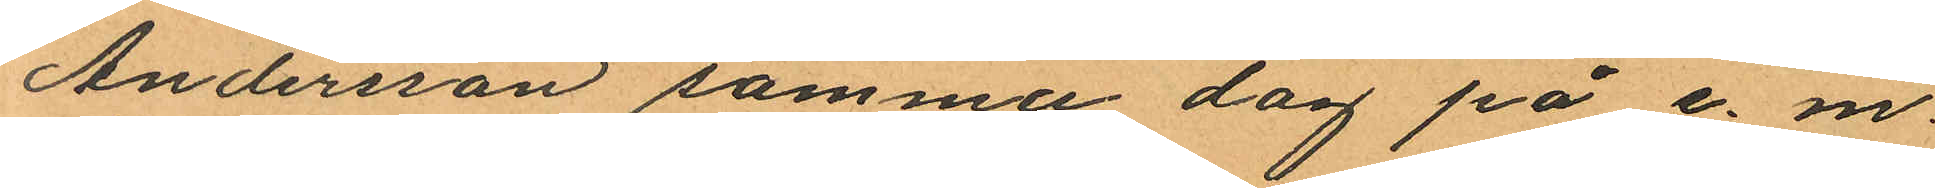Andersson samma dag på e. m.
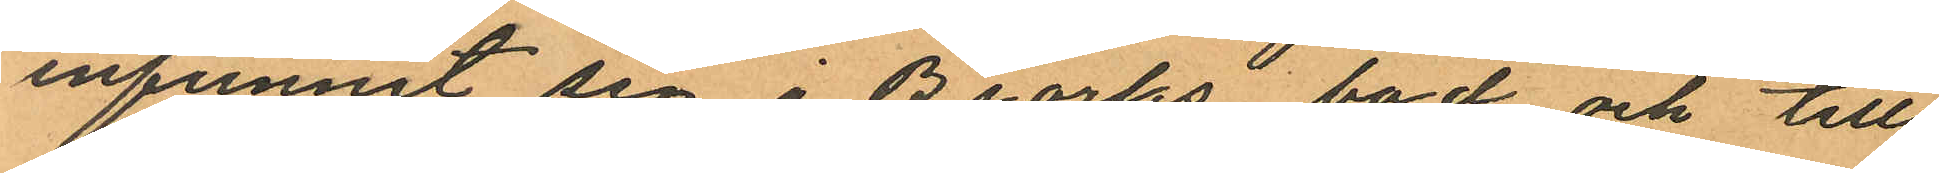infunnit sig i Brörks bod och till
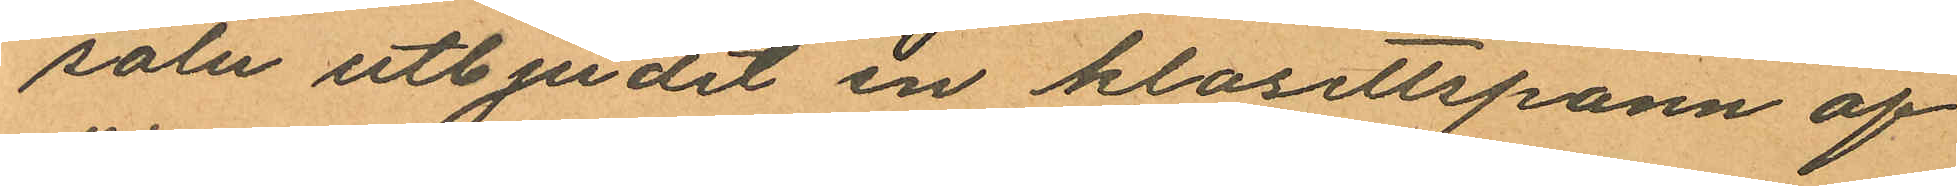salu utbjudit en klosettspann af
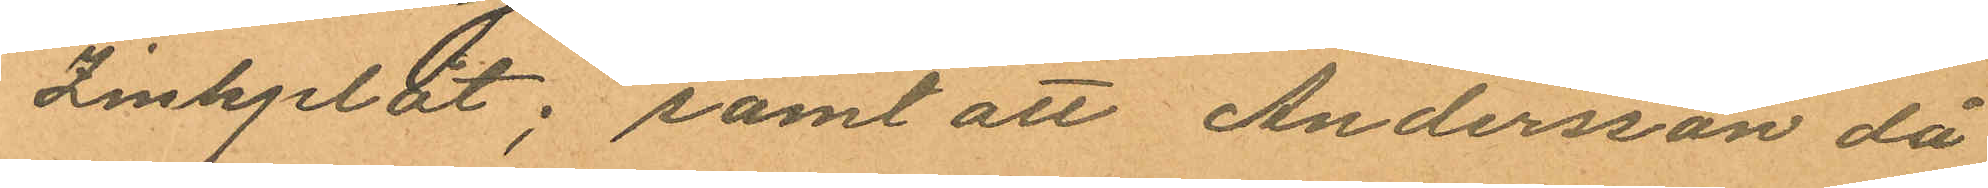Zinkplåt; samt att Andersson då
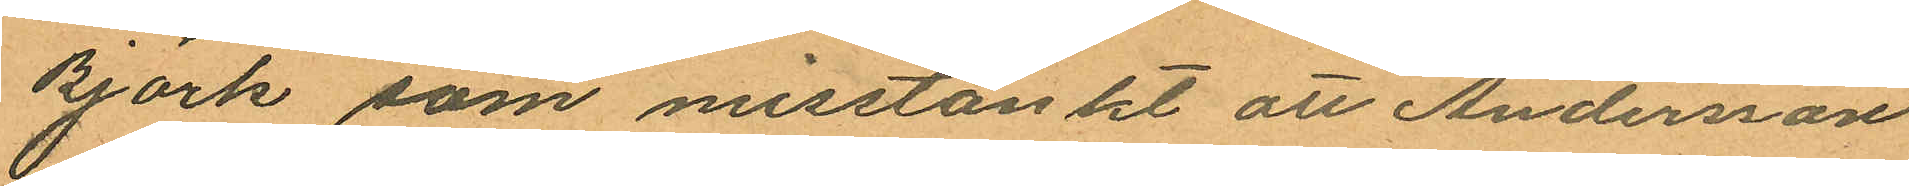Björk som misstänkt att Andersson
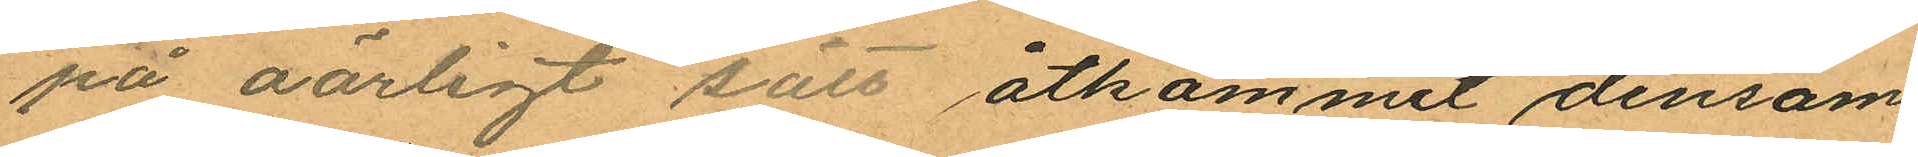på oärligt sätt åtkommit densam
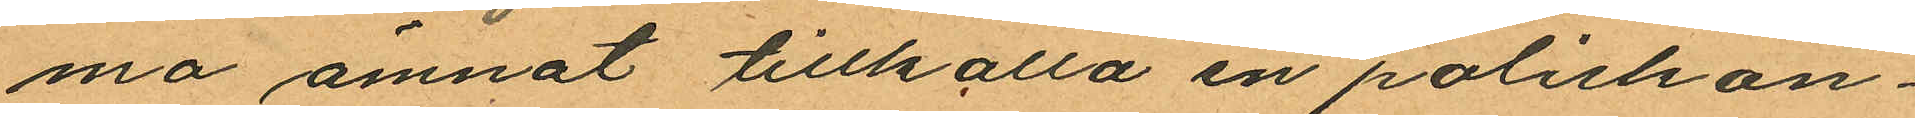ma ämnat tillkalla en poliskon¬
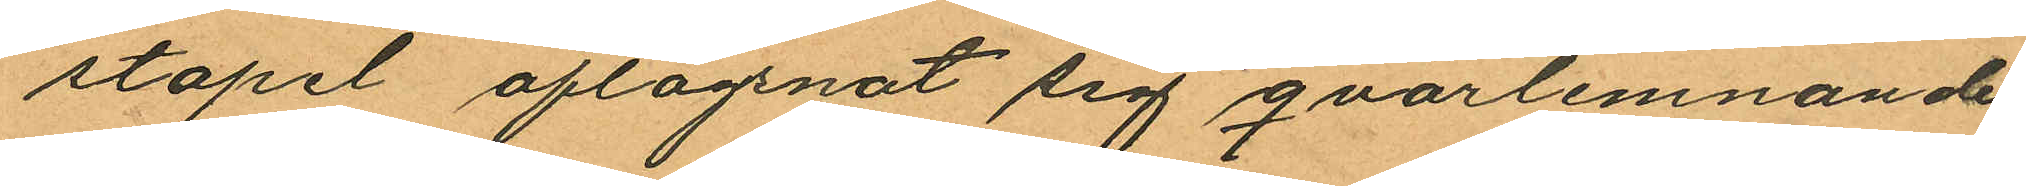stapel aflägsnat sig qvarlemnande
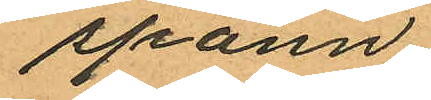spann.
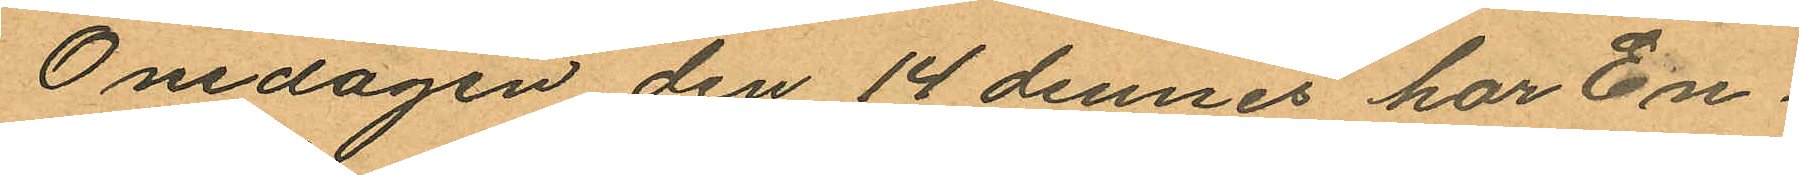Onsdagen den 14 dennes har En¬
